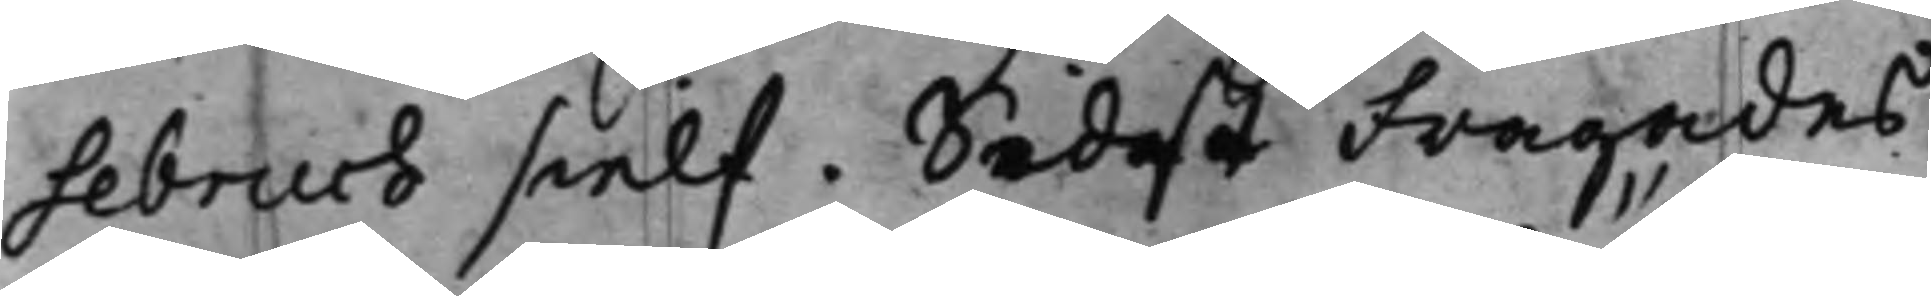sebruch sielf. Sidst Fragades
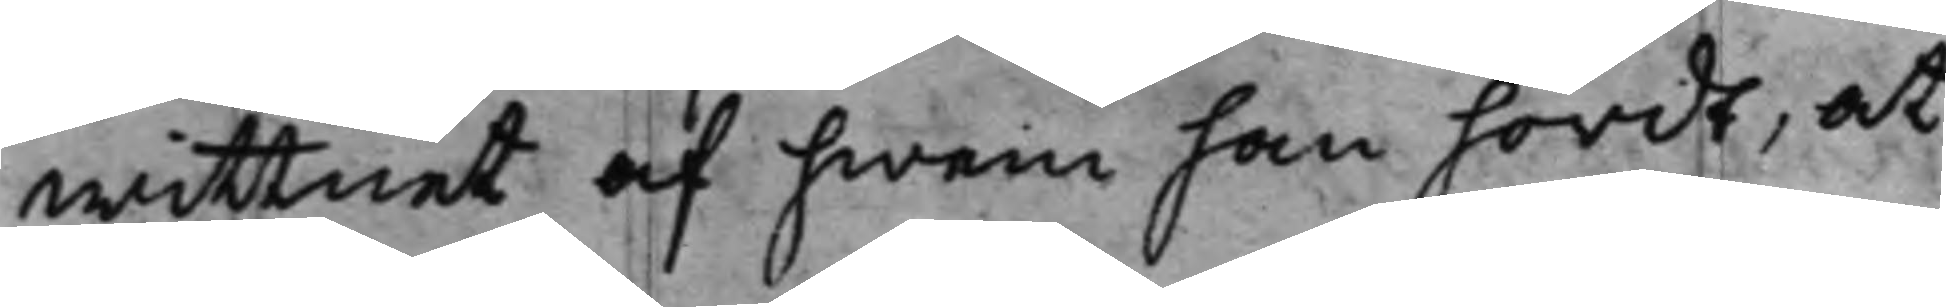wittnet af hwem han hördt, at
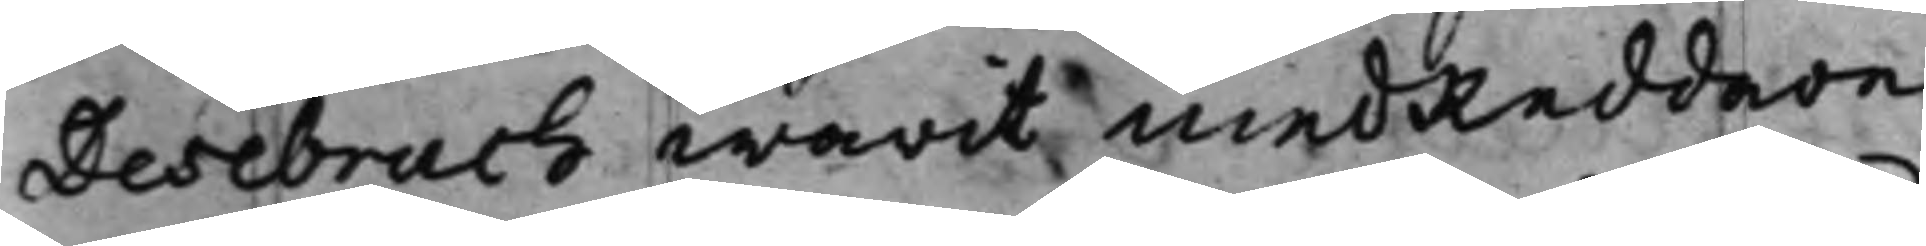Desebruch warit medReddare
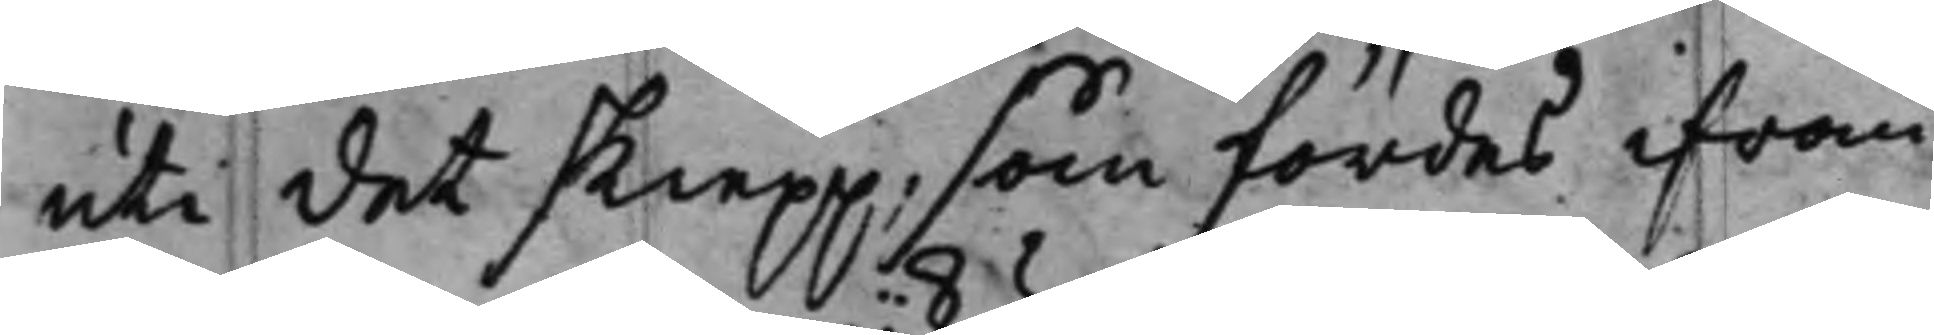uti det skiepp, som fördes ifrån
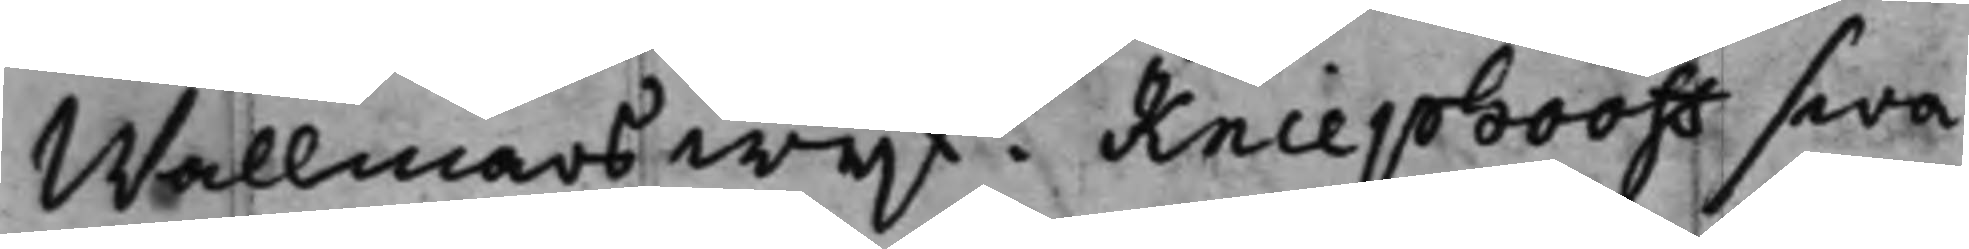Wallmars wijk? Kniephooff swa¬
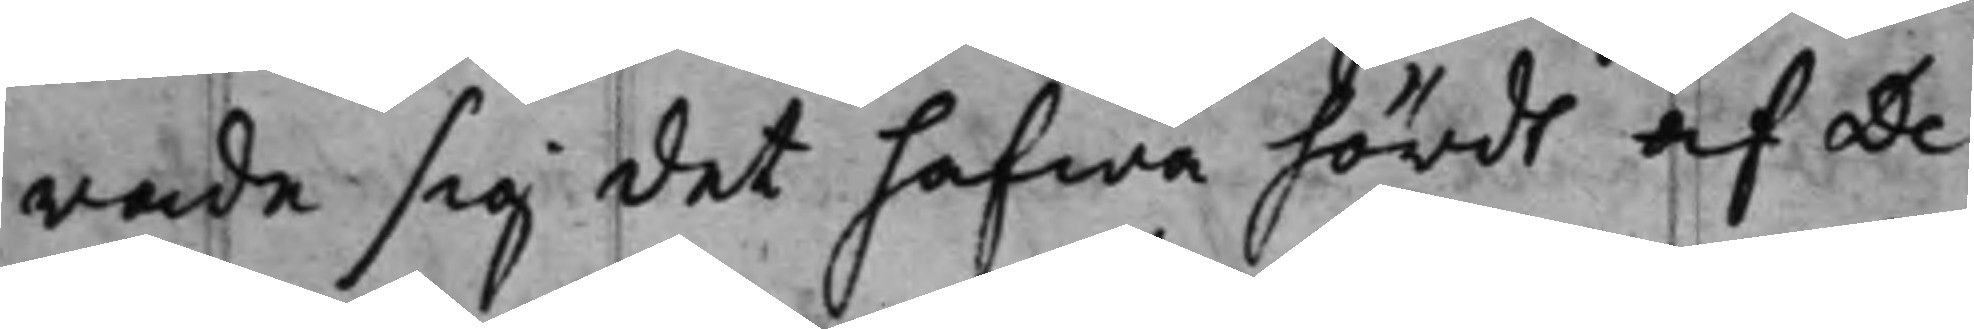rade sig det hafwa hördt af De¬
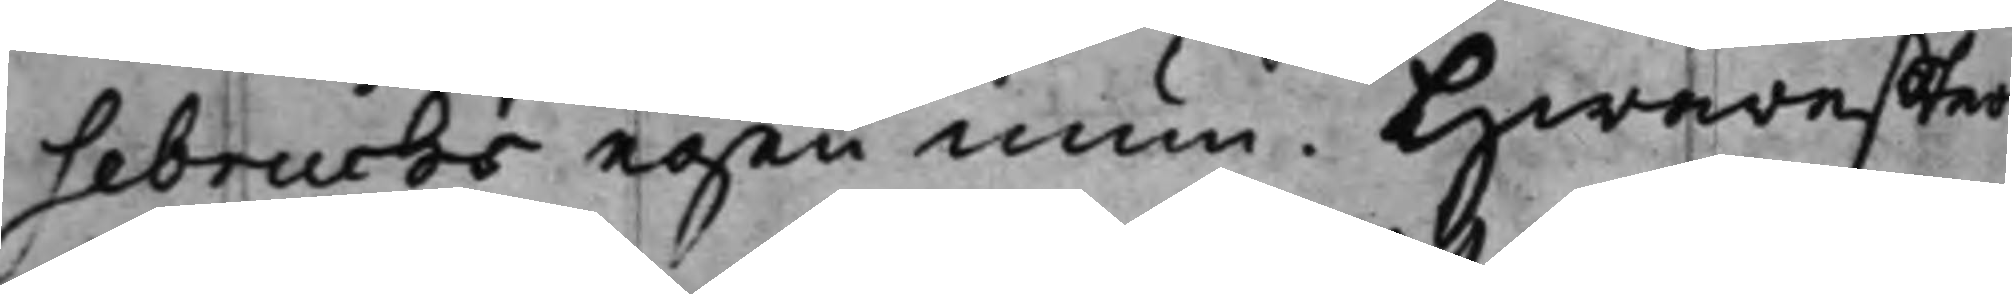sebruchs egen mun. Hwareffter
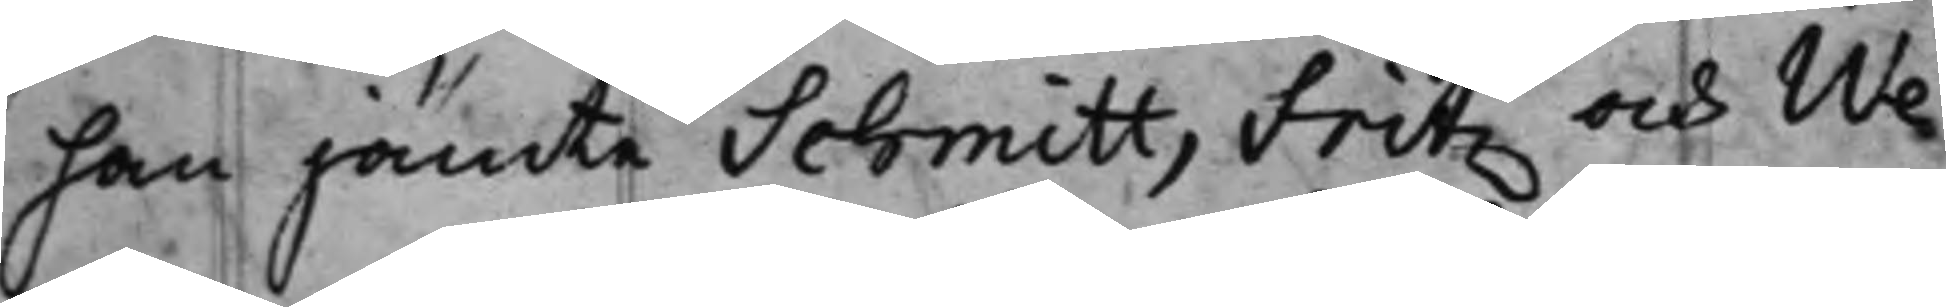han jämte Schmitt, Fritz och We¬
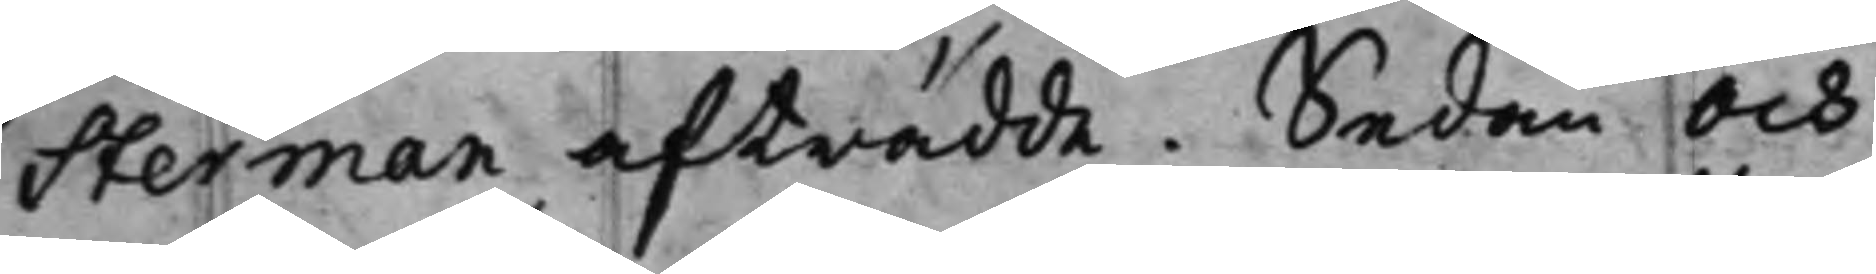Sterman afträdde. Sedan och
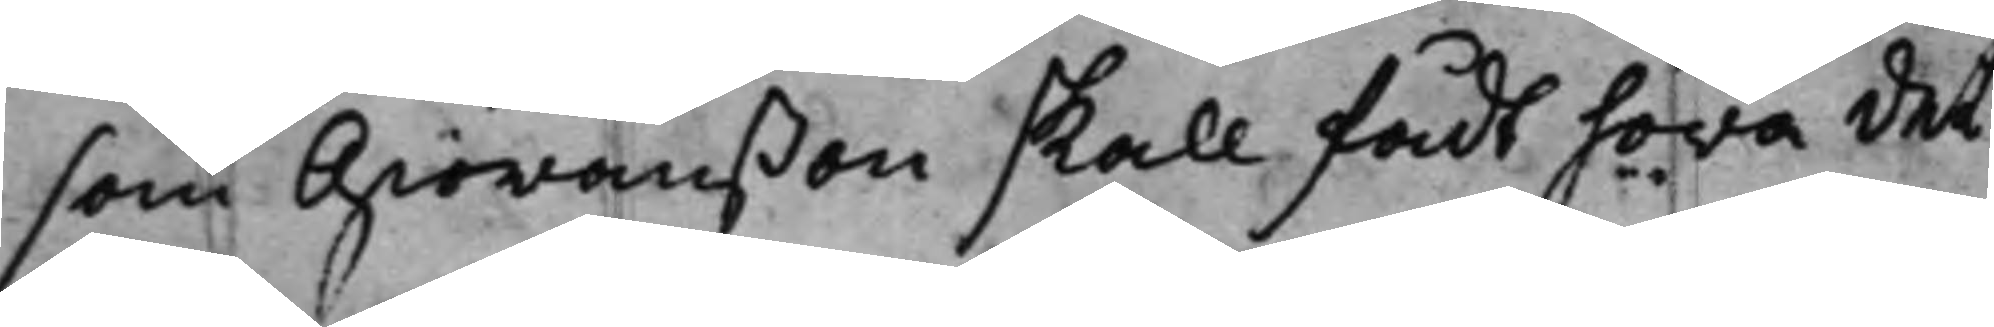som Giöranßon skall fådt höra det
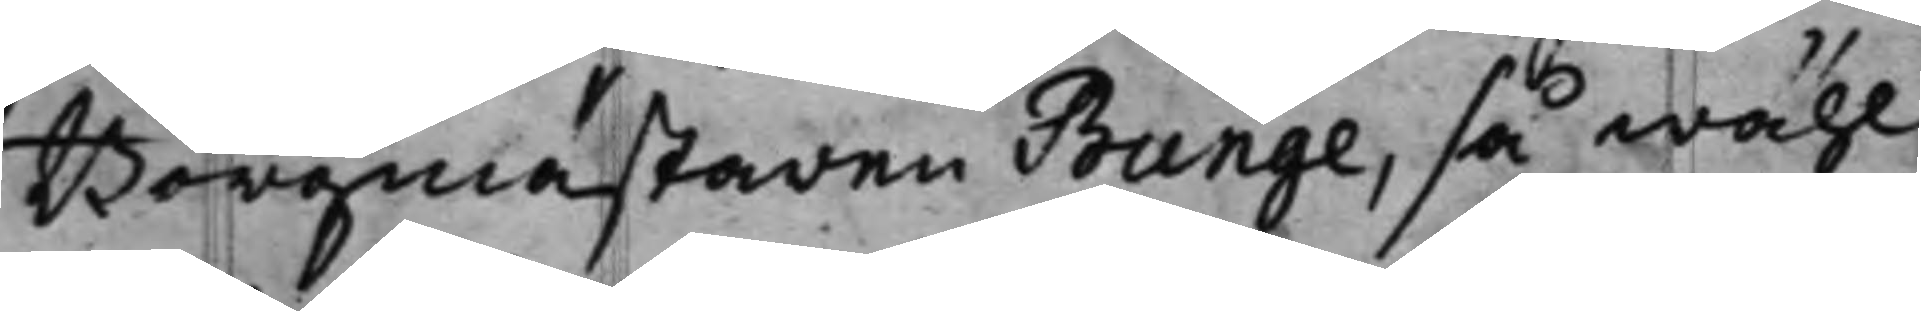Borgmästaren Bunge, så wähl
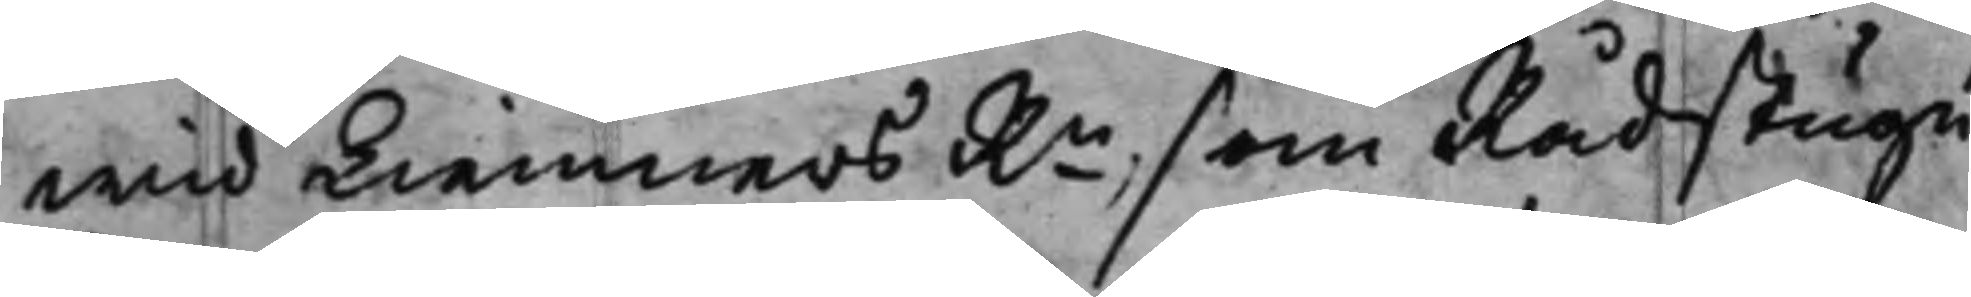wid Kiemners Rn, som Rådstugu
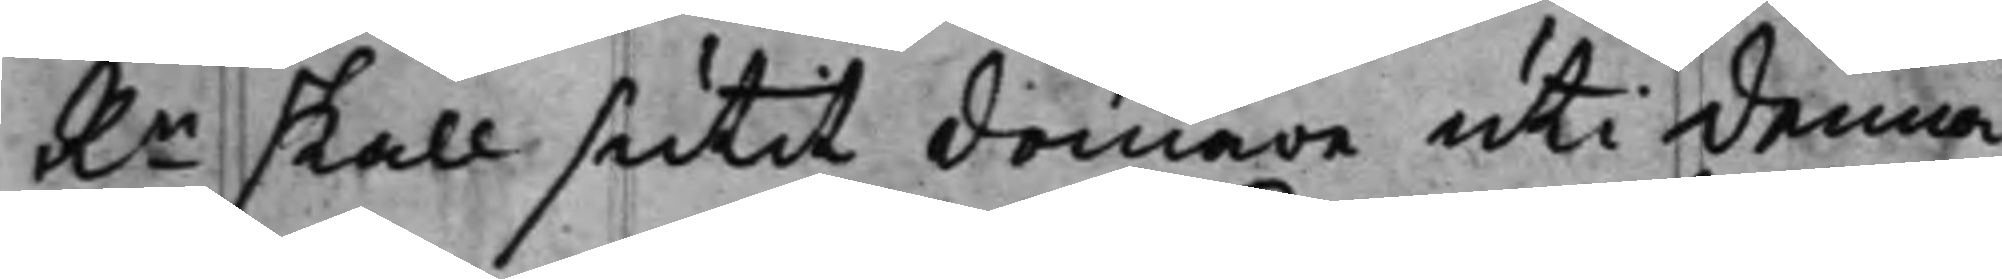Rn skall sutit domare uti denna
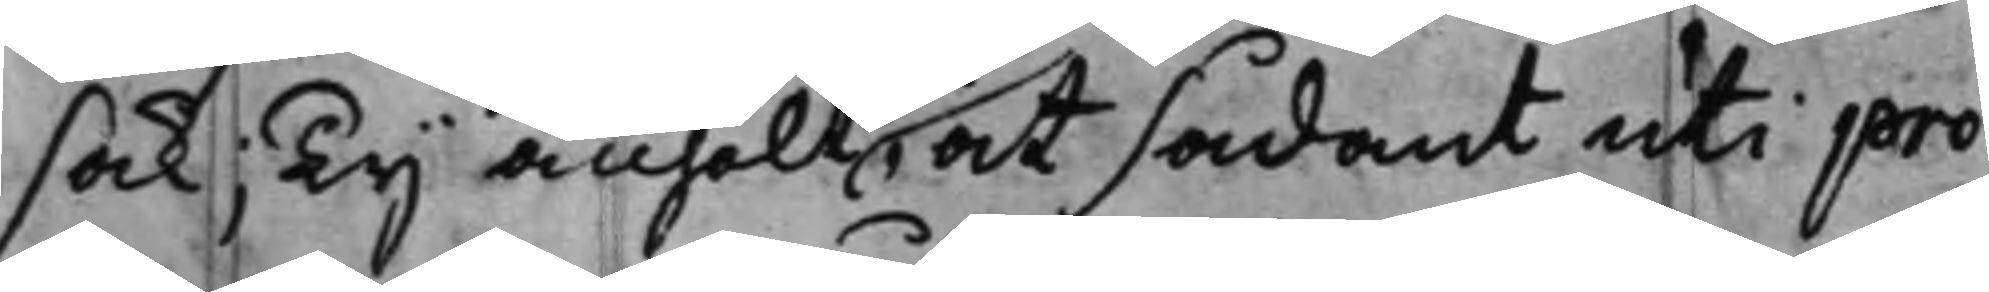sak; Ty anhölt, at sådant uti pro¬
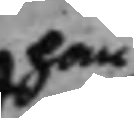han
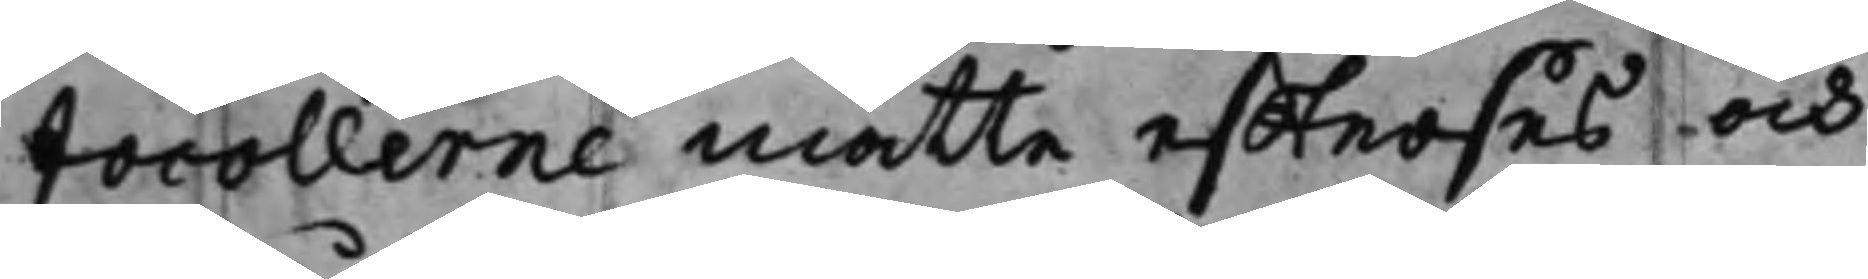tocollerne måtte effterses och
